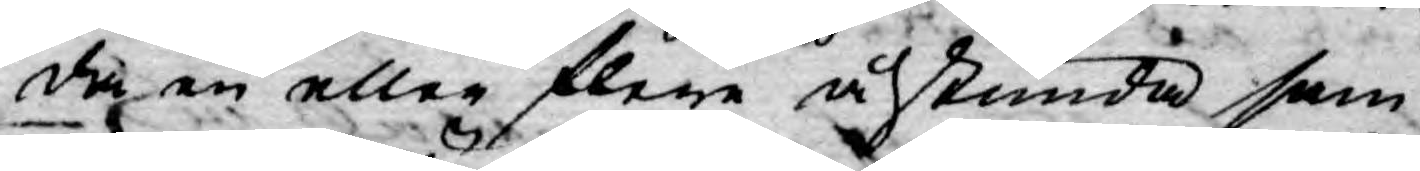da en eller flere åstunda sam¬
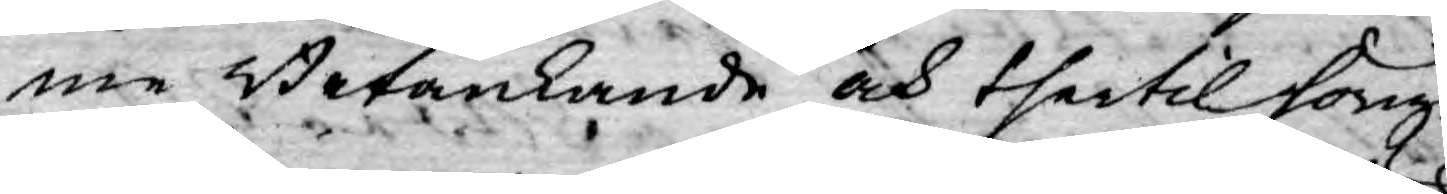me Betänkande och thertil hörige
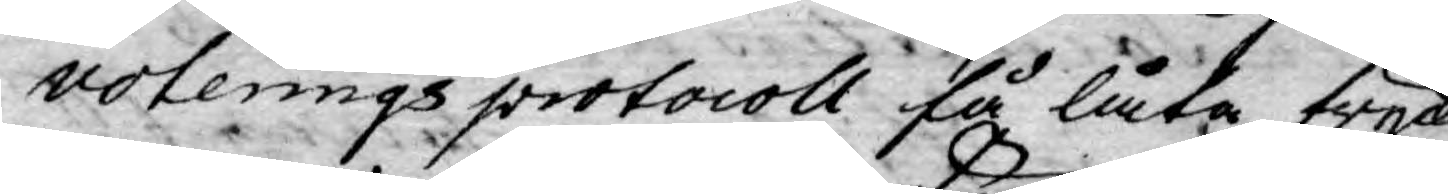voterings protocoll få låta trycka
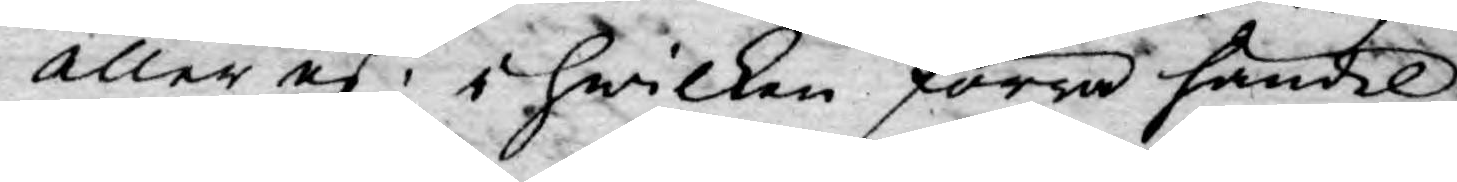eller ej; i hwilken förra händel¬
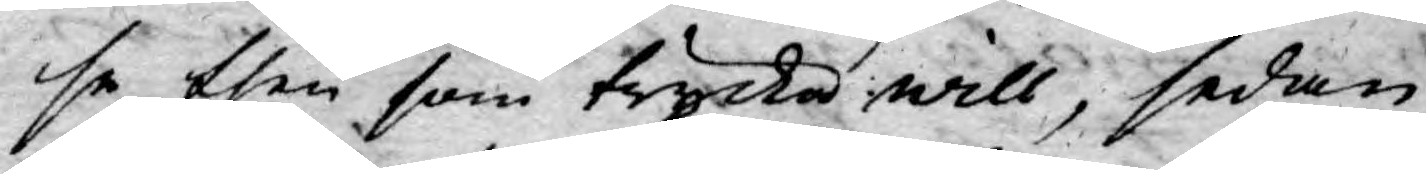se then som trycka will, sedan
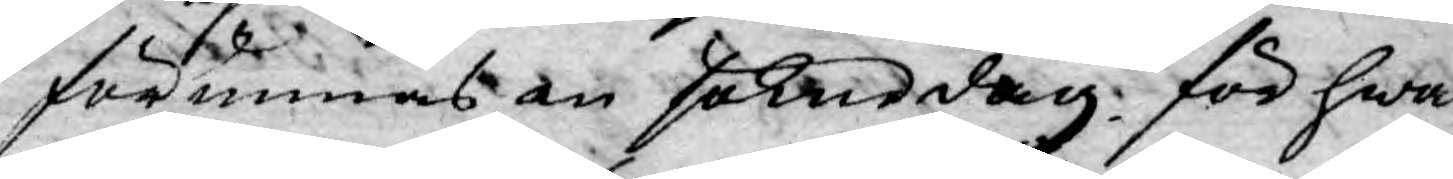förunnas en söknedag för hwar¬
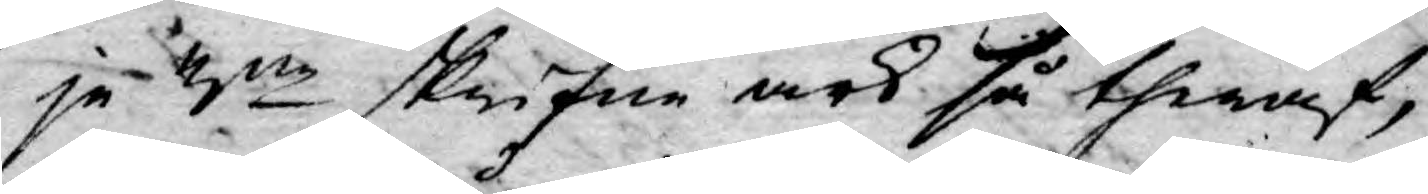je 3ne skrifne ark så theraf,
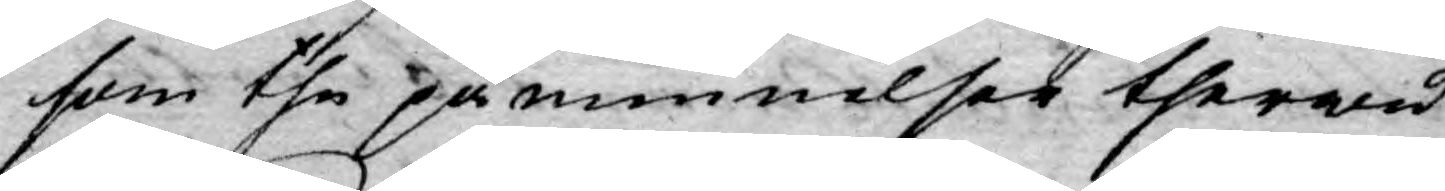som the påminnelser therwid
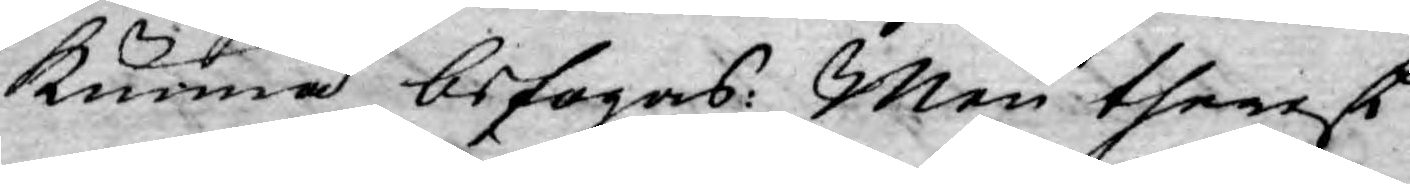kunna befogas: Men therest
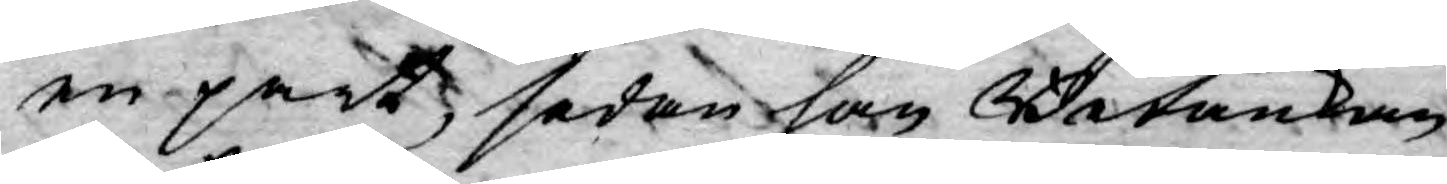en part, sedan han Betänkan¬
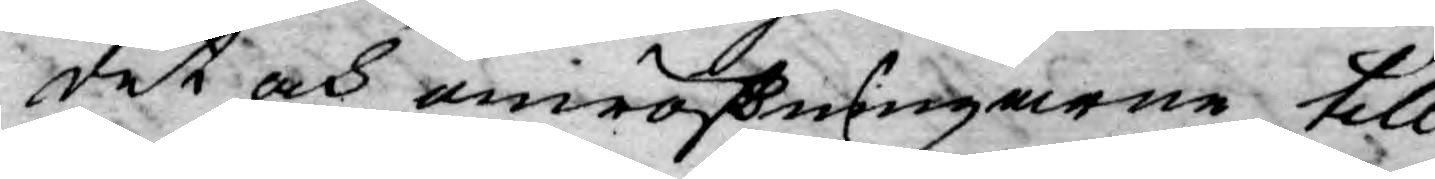det och omröstningarne till
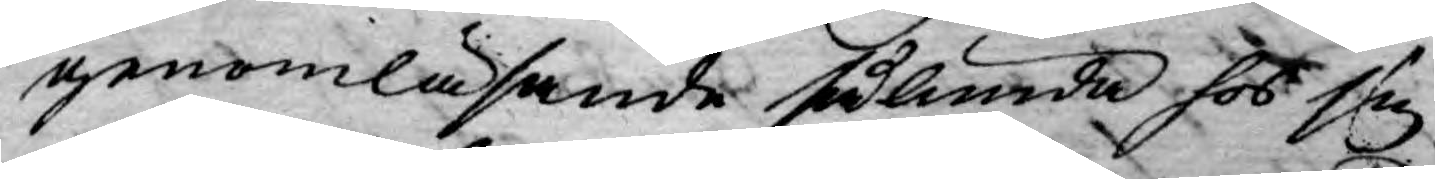genomläsande sålunda hos sig
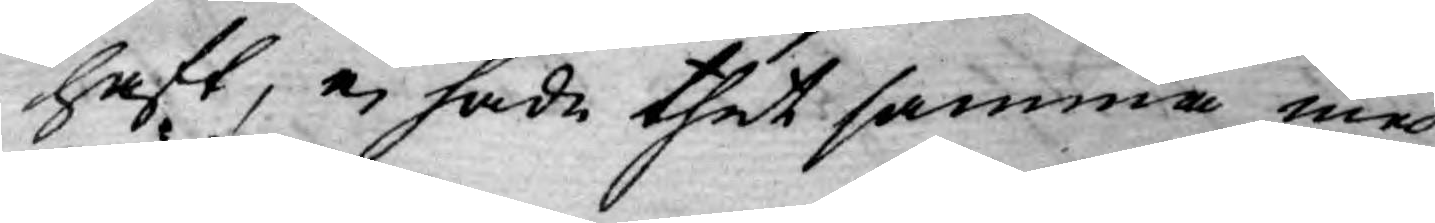haft, ej hade thet samma med
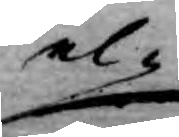el¬
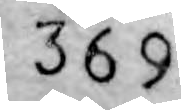369
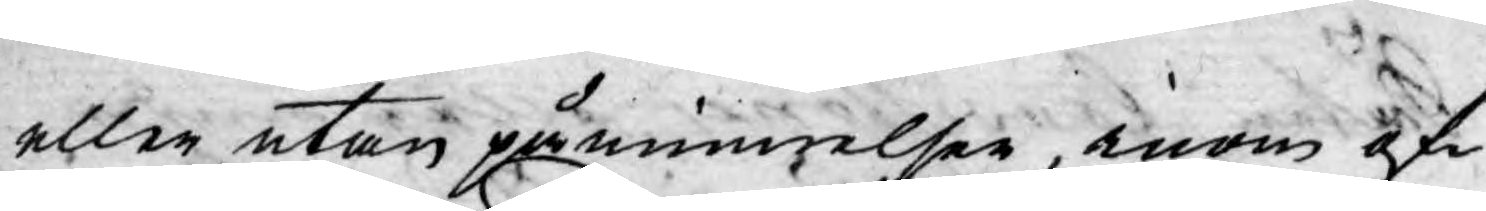eller utan påminnelser, inom of¬
